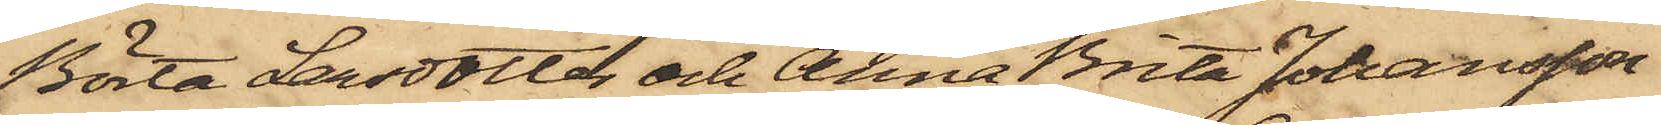Börta Larsdotter och Anna Brita Johansson
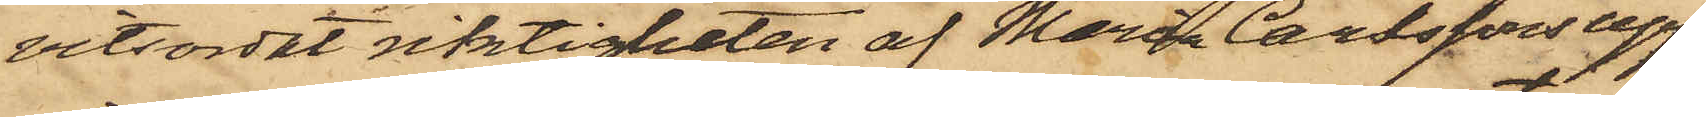vitsordat riktigheten af Maria Carlssons upp¬
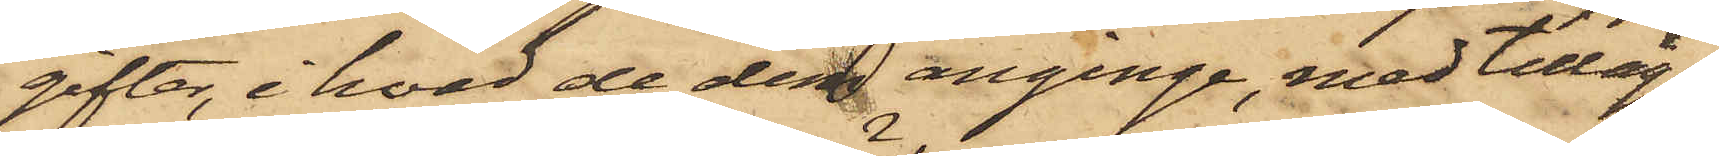gifter, i hvad de dem anginge, med tillägg
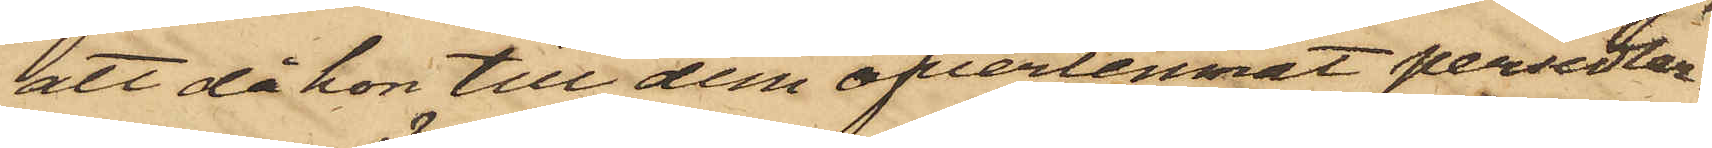att då hon till dem öfverlemnat persedlar¬
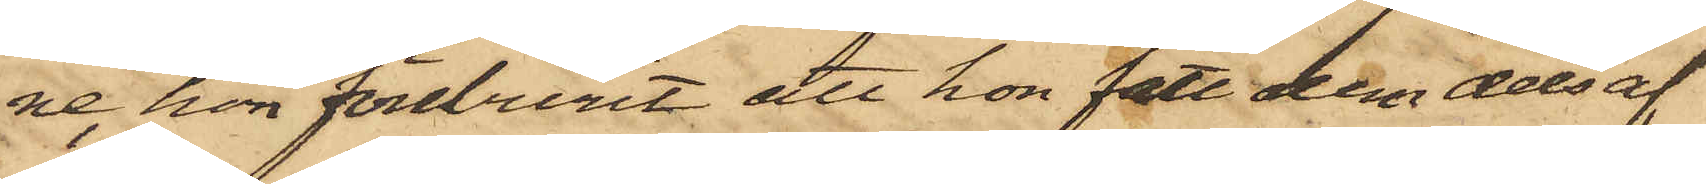ne, hon föreburit att hon fått dem dels af
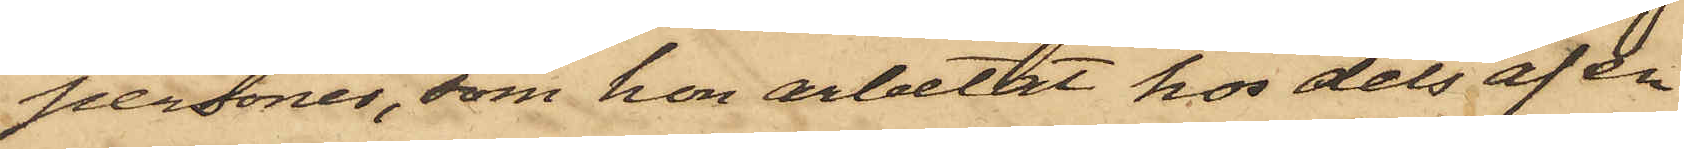personer, som hon arbetat hos dels af en
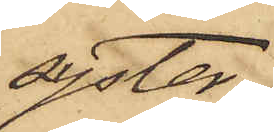syster.
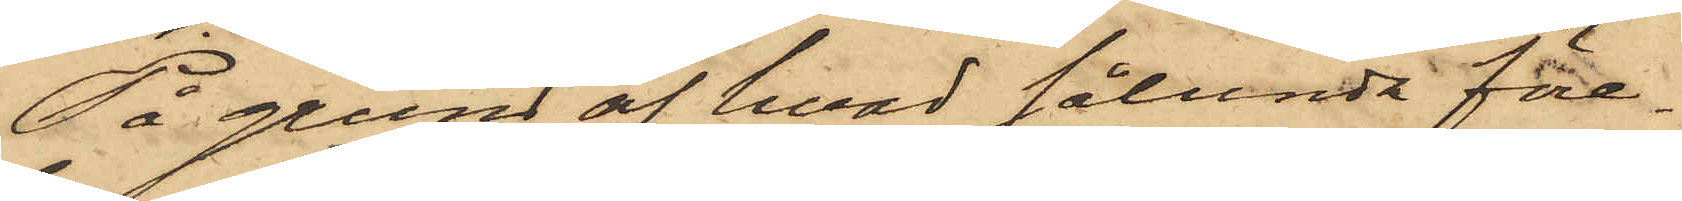På grund af hvad sålunda före¬
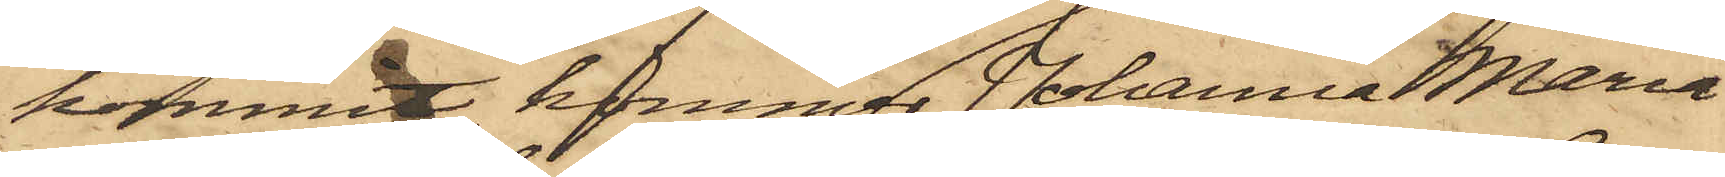kommit, kommer Johanna Maria
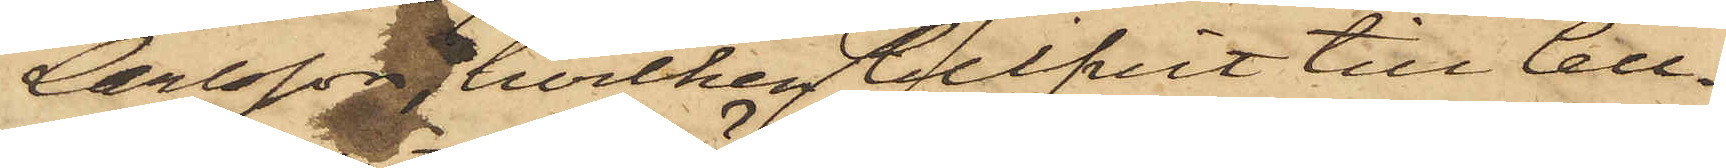Carlsson, hvilken blifvit till Cell¬
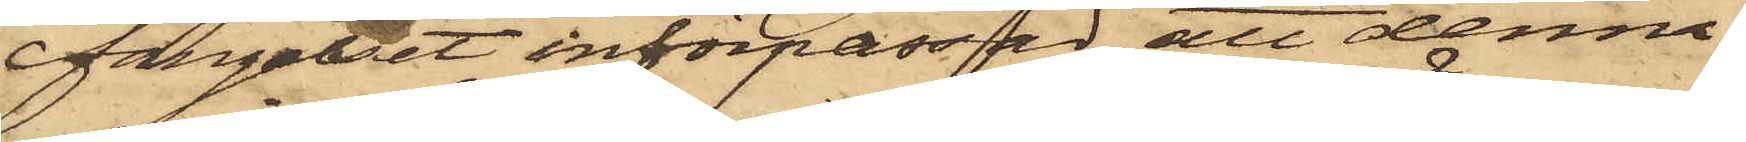fängelset införpassad, att denna
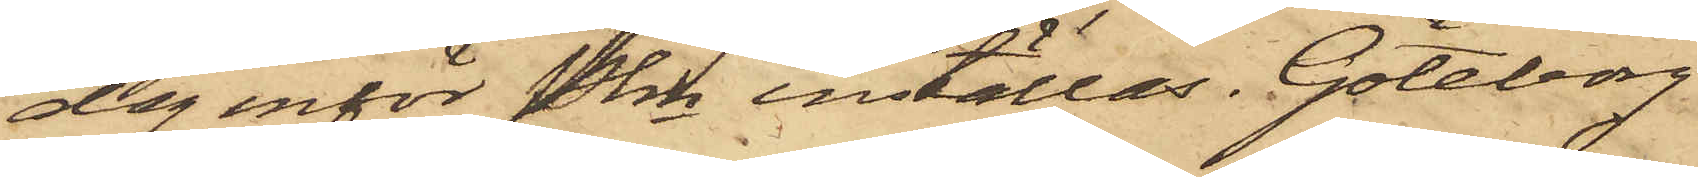dag inför Pkn inställas. Göteborg
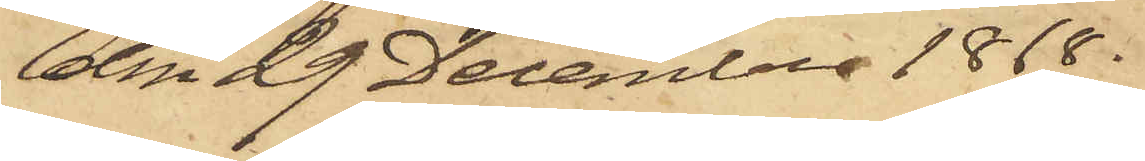den 29 December 1868.
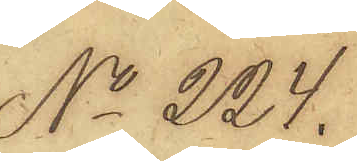No 224.
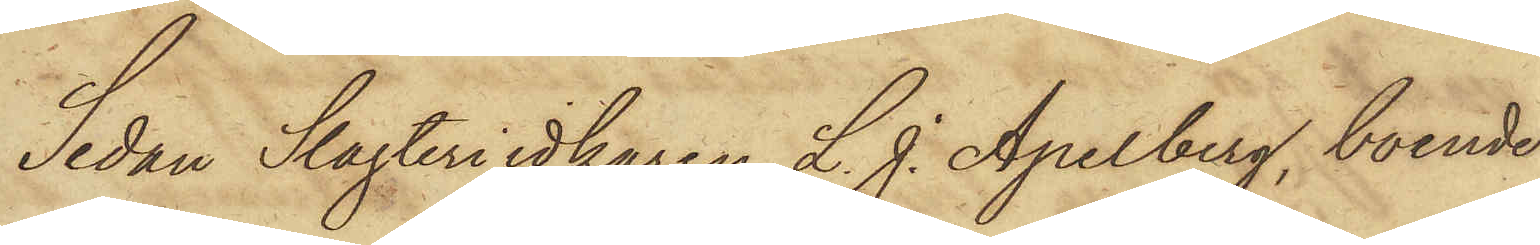Sedan Slagteriidkaren L. J. Apelberg, boende
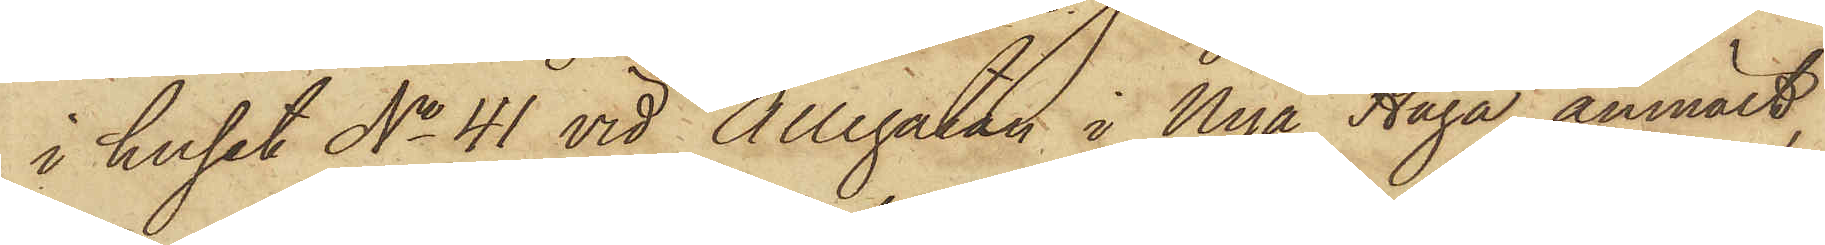i huset No 41 vid Allégatan i Nya Haga anmält,
